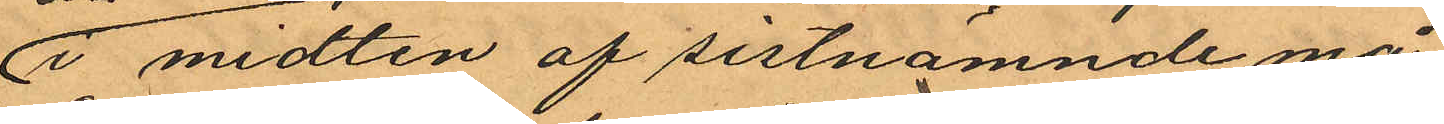i midten af sistnämnde må¬
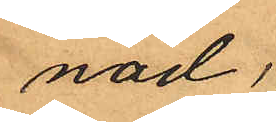nad;
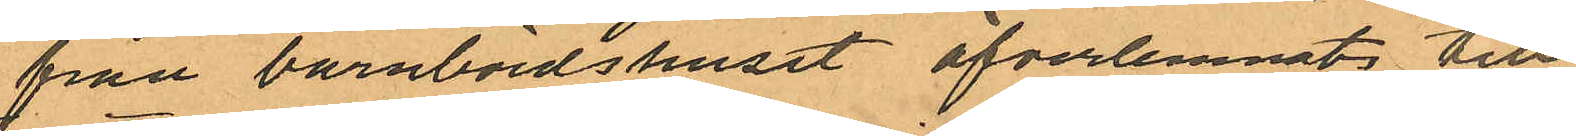från barnbördshuset öfverlemnats till
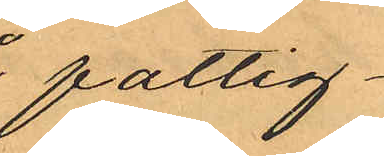fattig¬
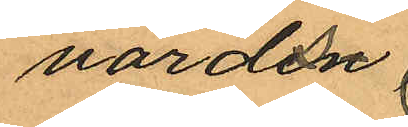vårds
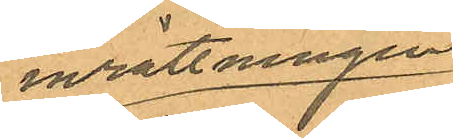inrättningen
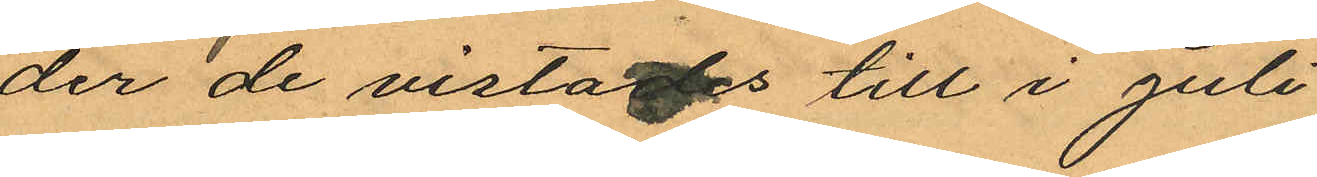der de vistades till i Juli
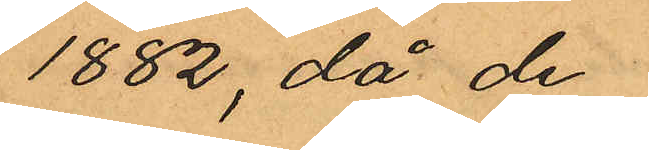1882, då de
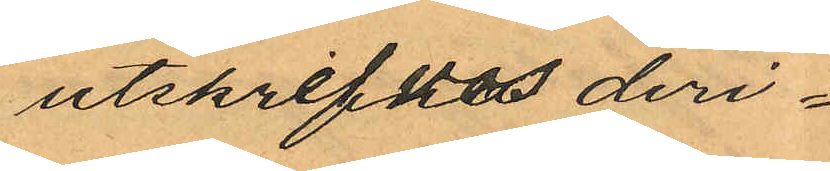utskrefvos deri¬
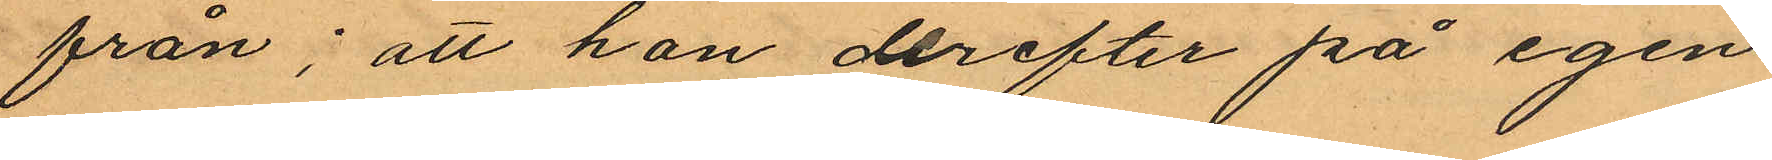från; att hon derefter på egen
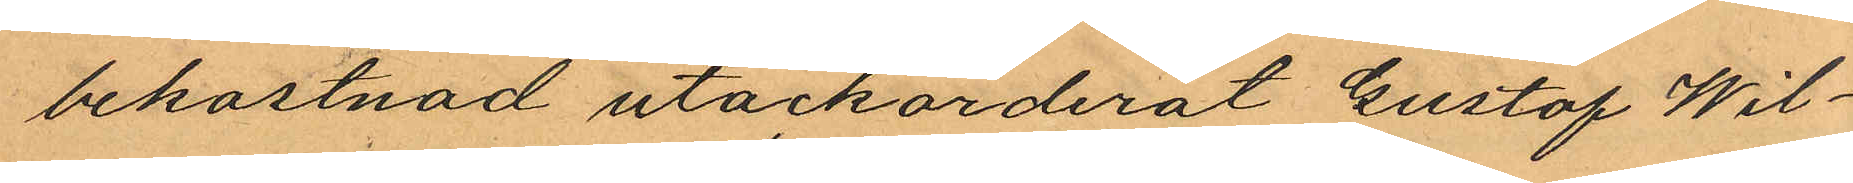bekostnad utackorderat Gustaf Wil¬
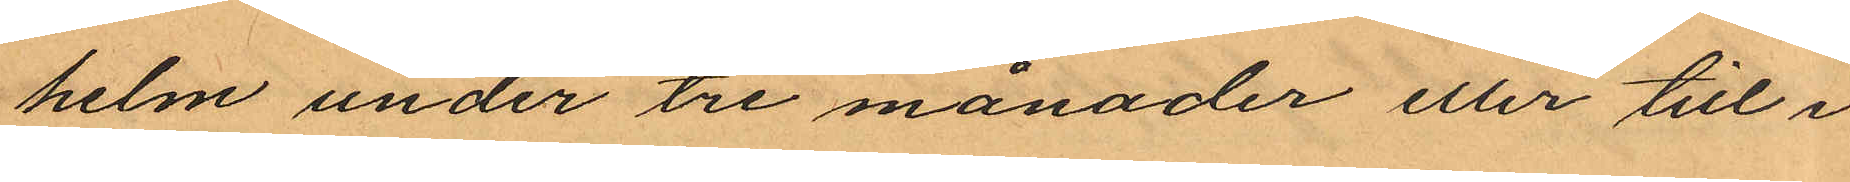helm under tre månader eller till i
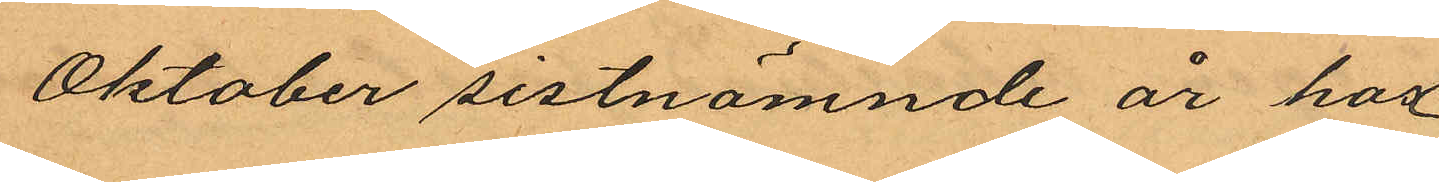Oktober sistnämnde år hos
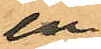en
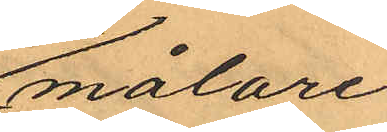målare
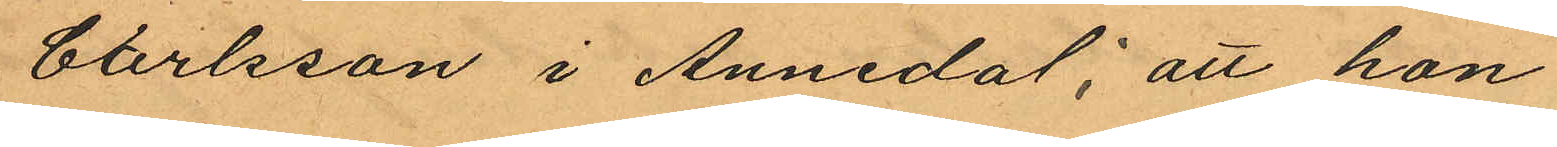Carlsson i Annedal; att hon
